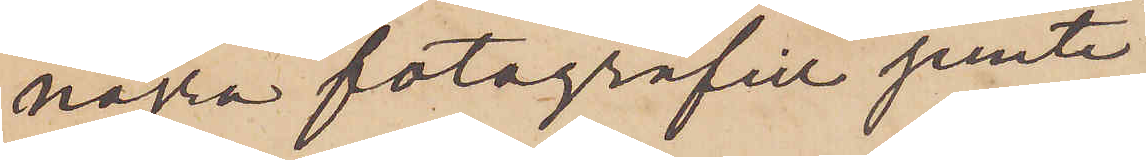några fotografier jemte
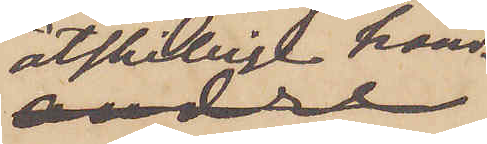åtskillige hand¬
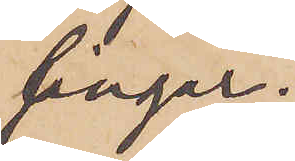lingar.
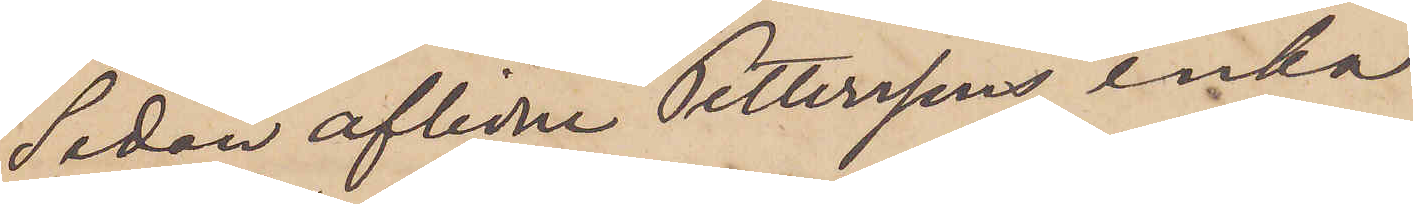Sedan aflidne Petterssons enka
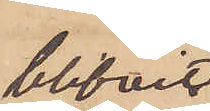blifvit
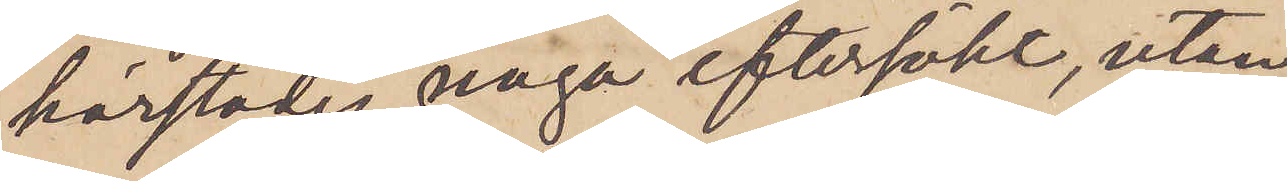härstädes noga eftersökt, utan
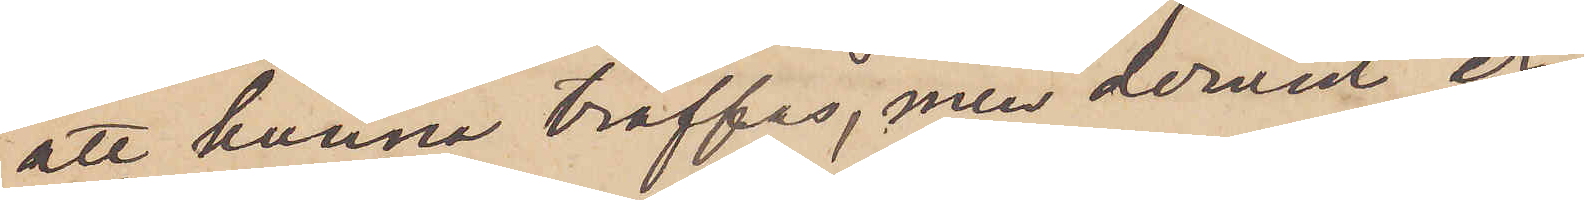att kunna träffas, men dervid er¬
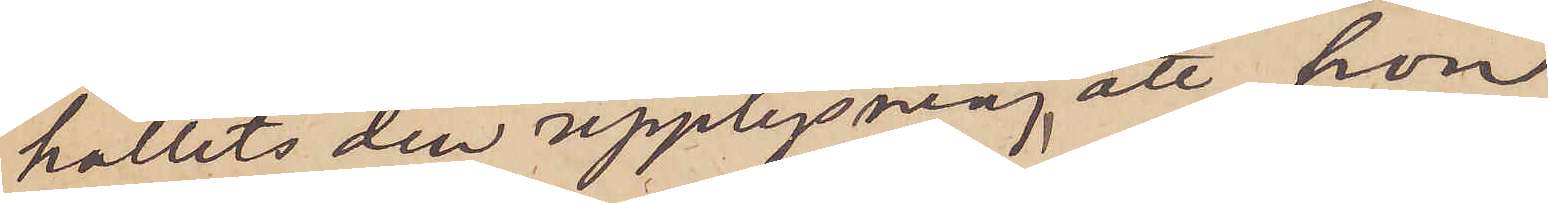hållits den upplysning, att hon
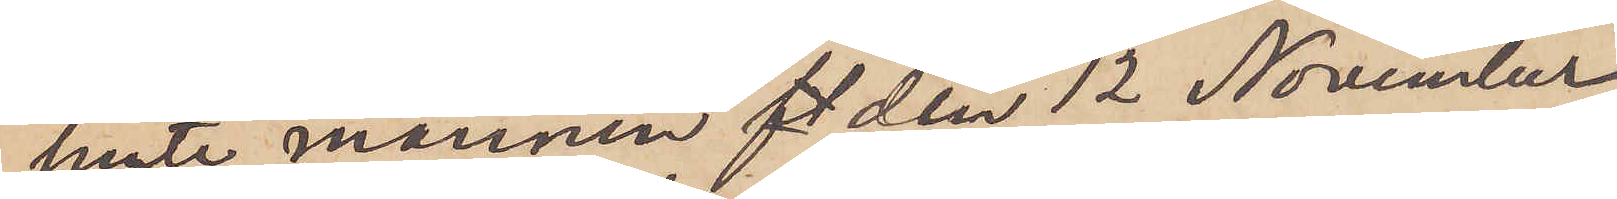jemte mannen  den 12 November
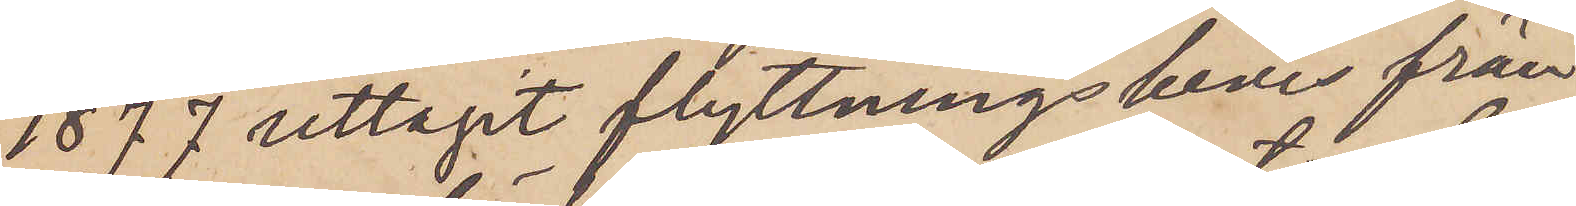1877 uttagit flyttningsbevis från
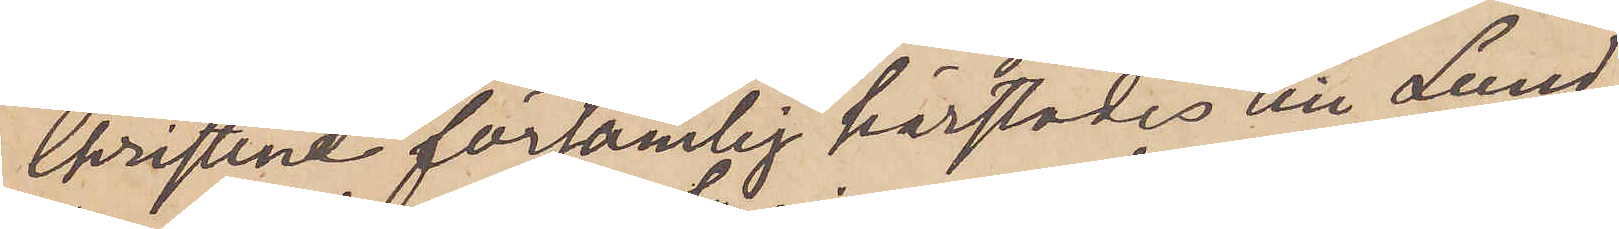Christine församlig härstädes till Lund¬
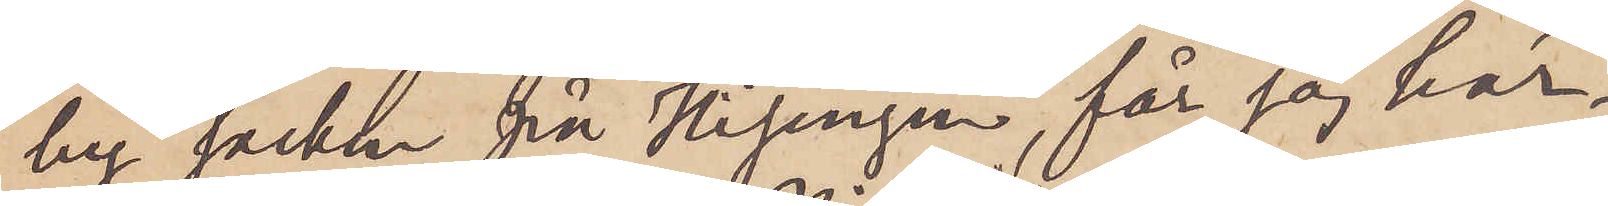by socken på Hisingen, får jag här¬
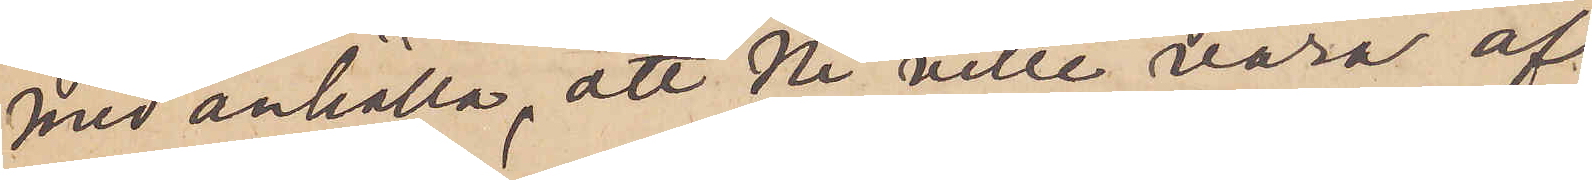med anhålla, att Ni ville vara af
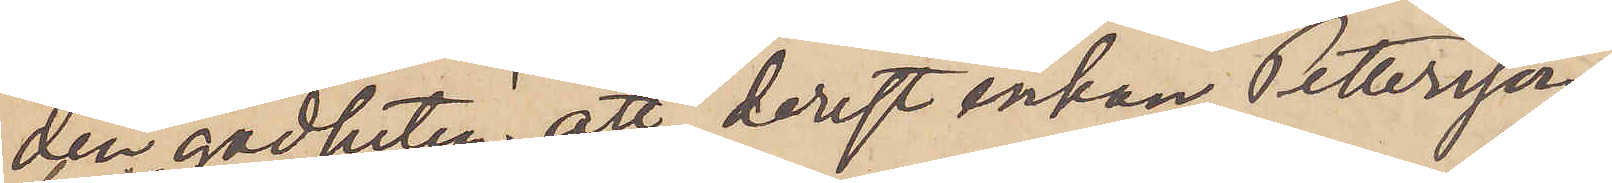den godheten att, derest enkan Pettersson,
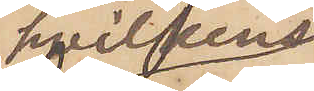hvilkens
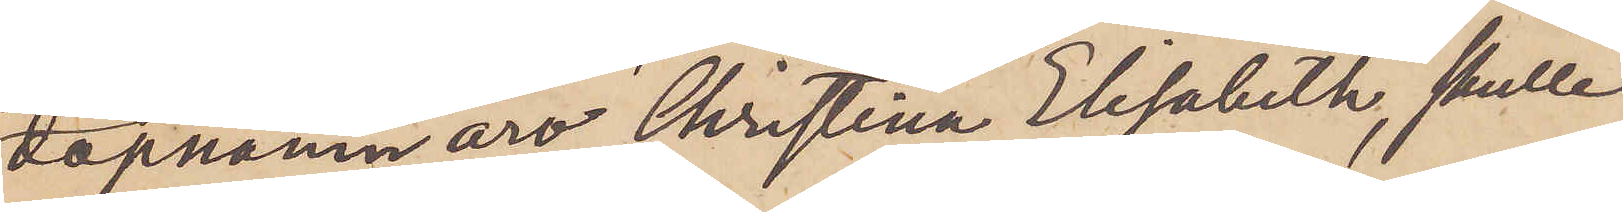dopnamn äro Christina Elisabeth, skulle
